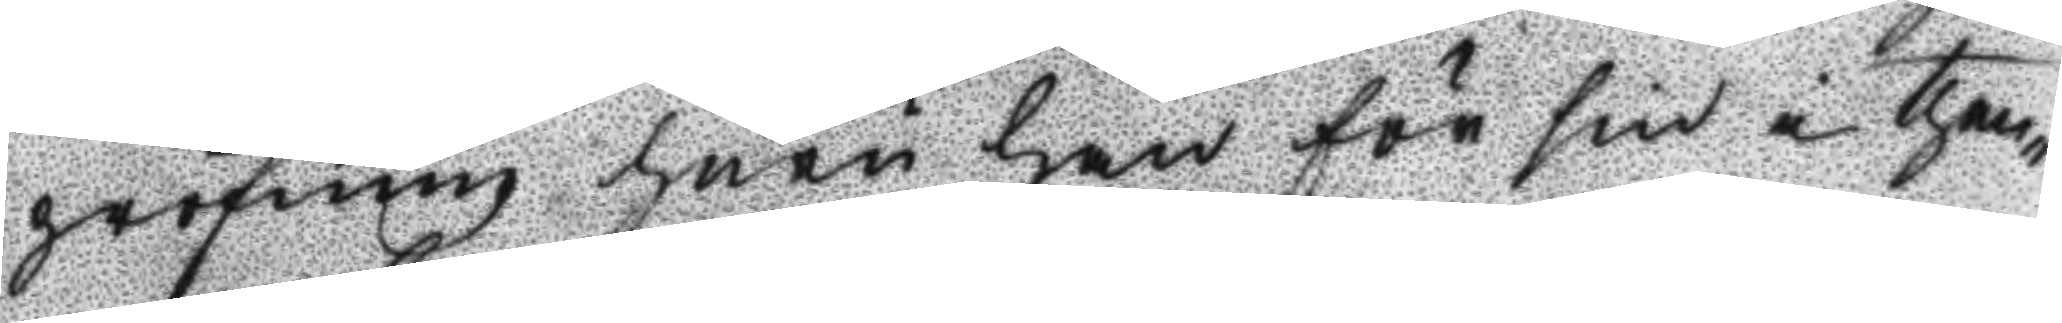pröfning huru han för sin i then¬
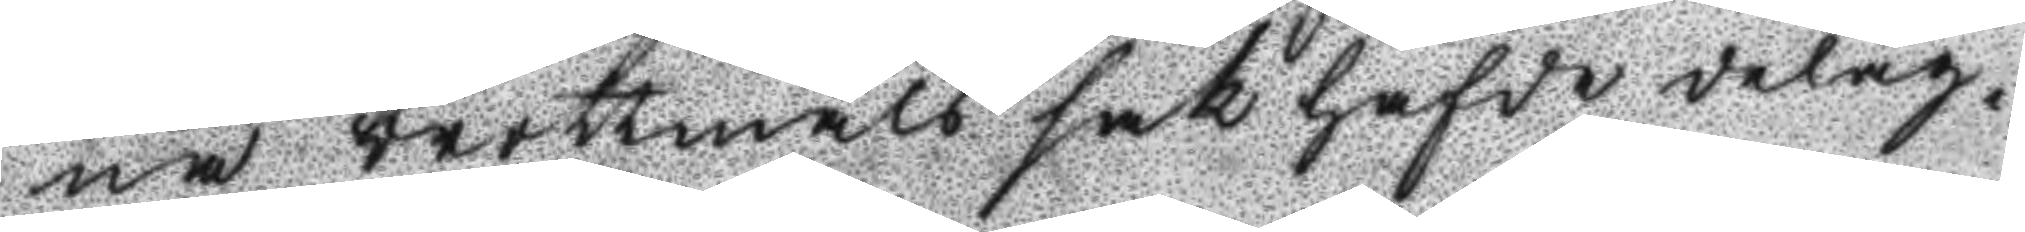na brottmåls sak hafde delag¬
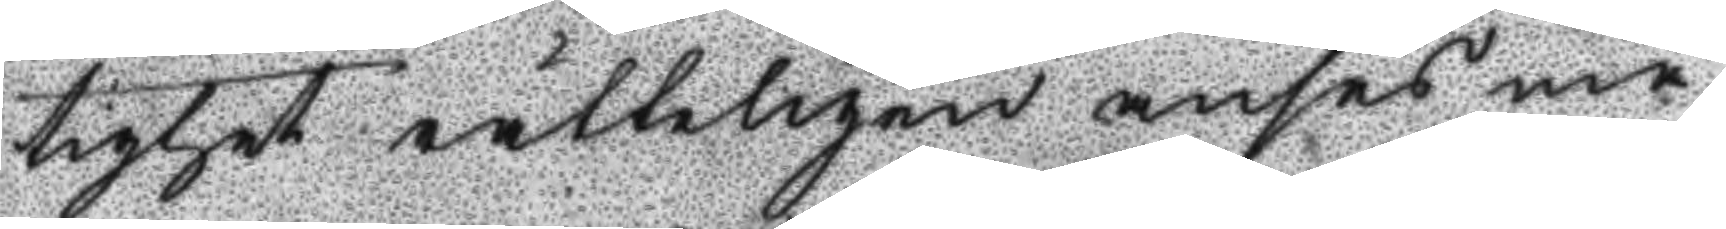tighet rätteligen anses må.
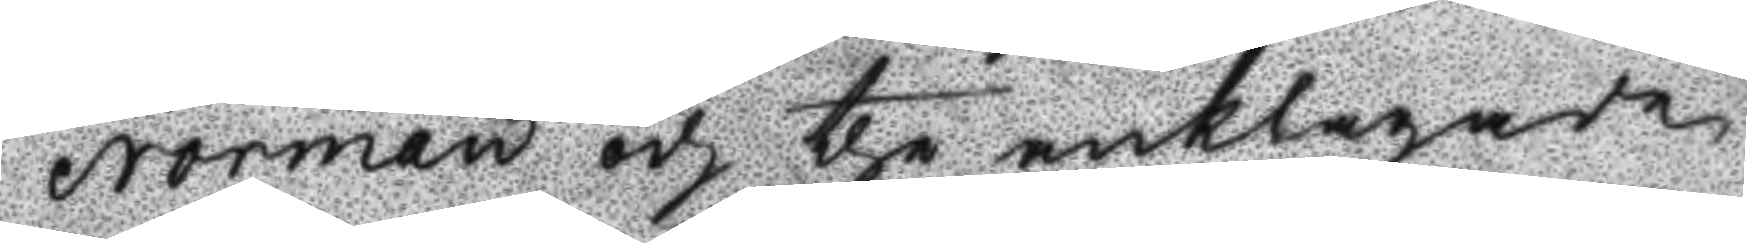Norman och the anklagade
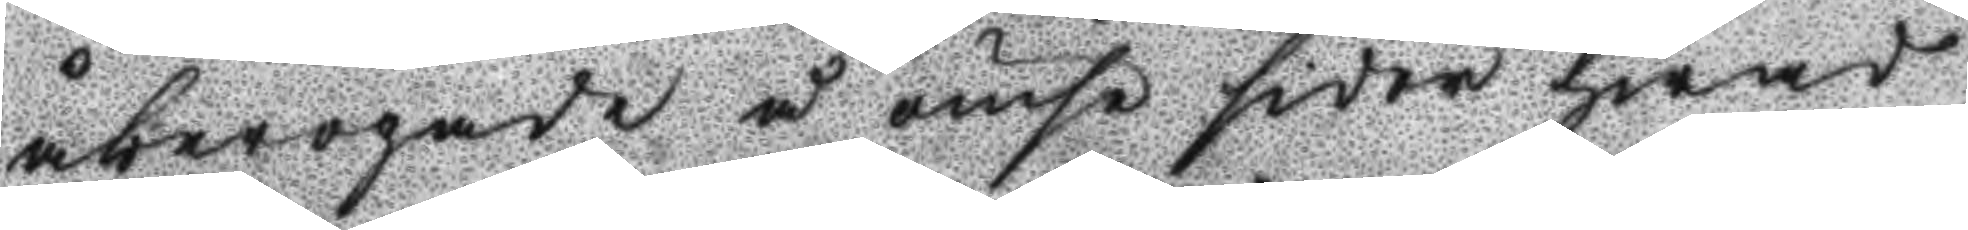åberopade å ömse sidor hwad
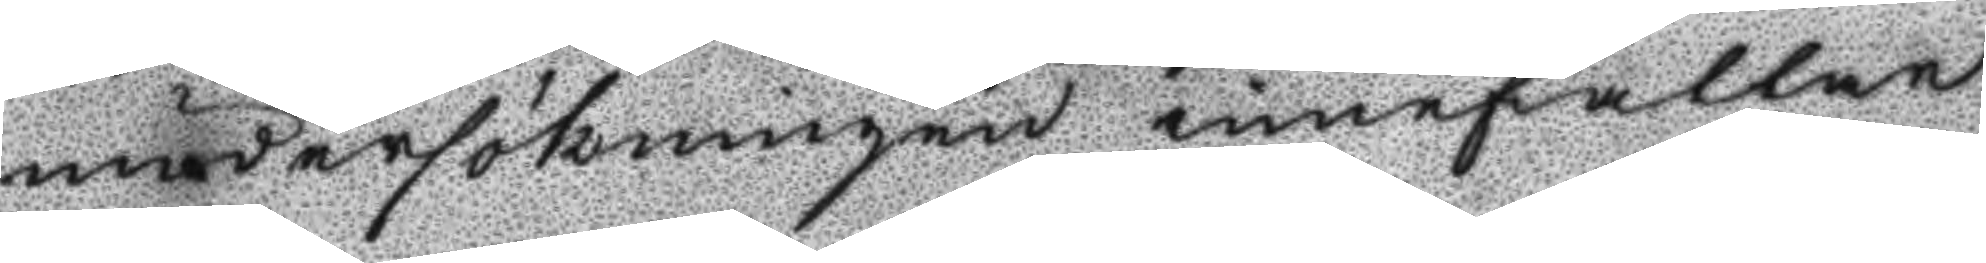undersökningen innefattar
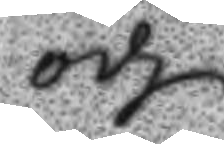och
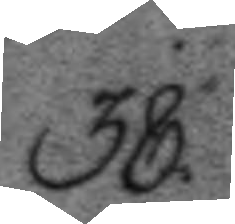38.
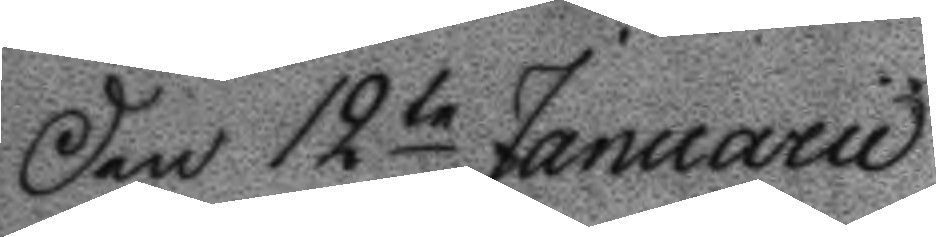Den 12te Januarii
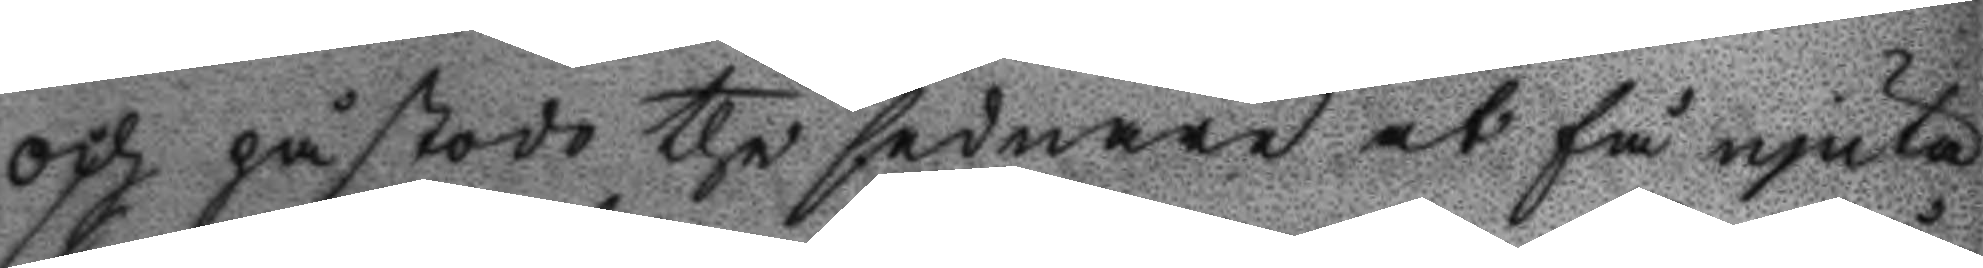och påstodo the sednare at få njuta
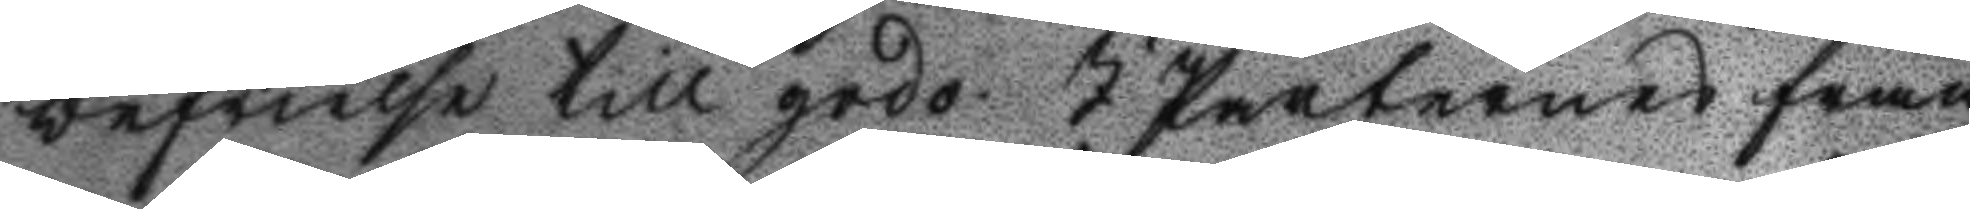befrielse till godo. I parternes från¬
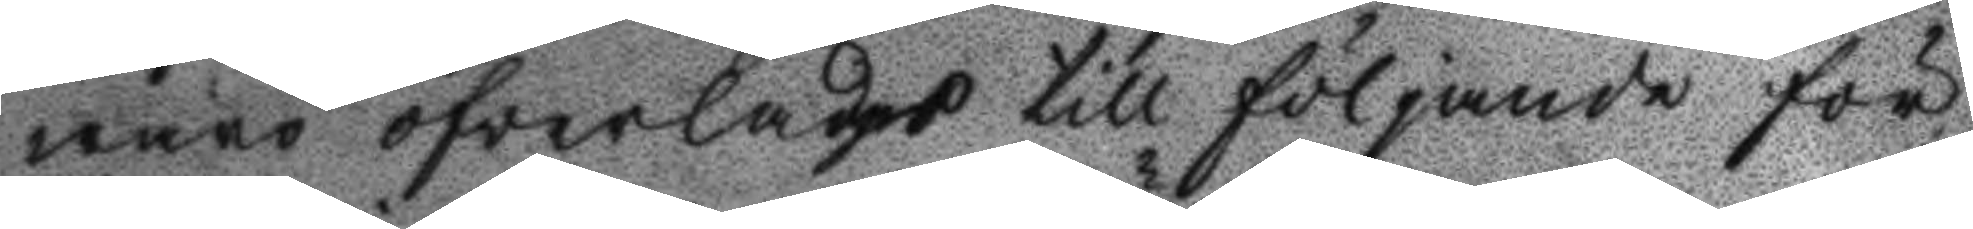waro öfwerlades till följande för
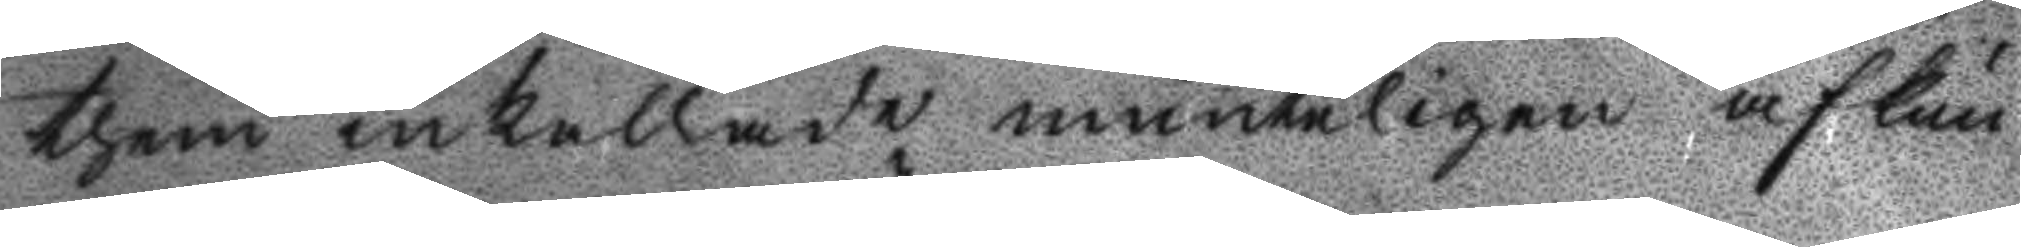them inkallade munteligen afkun¬
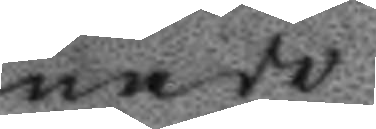nade
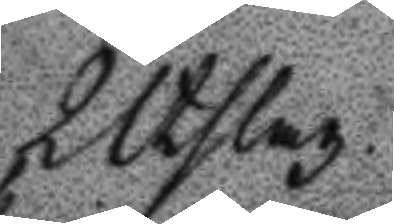Utslag
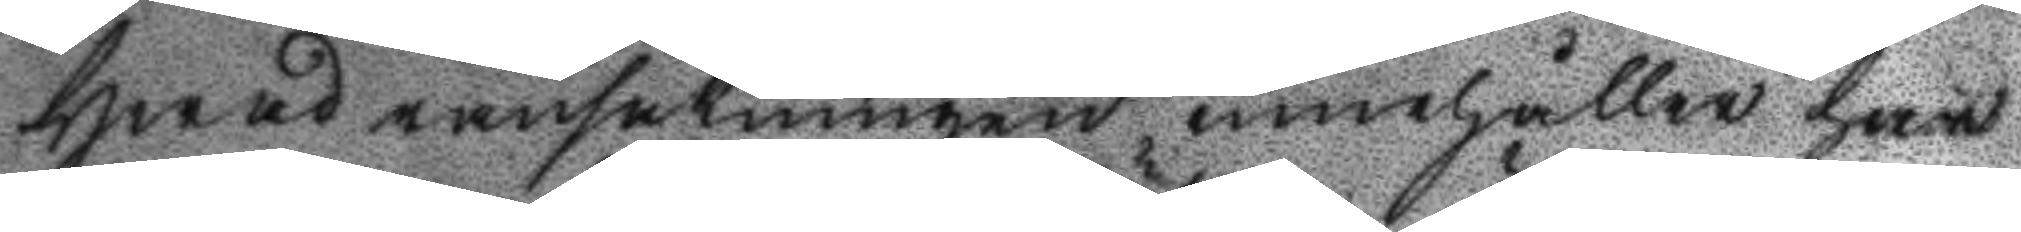Hwad ransakningen innehåller har
